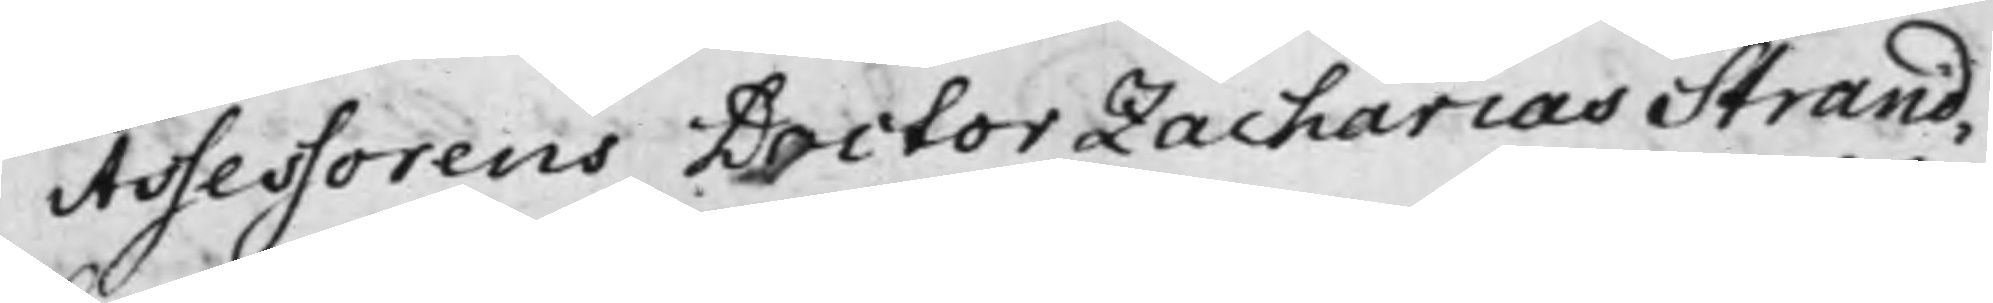Assessorens Doctor Zacharias Strand¬
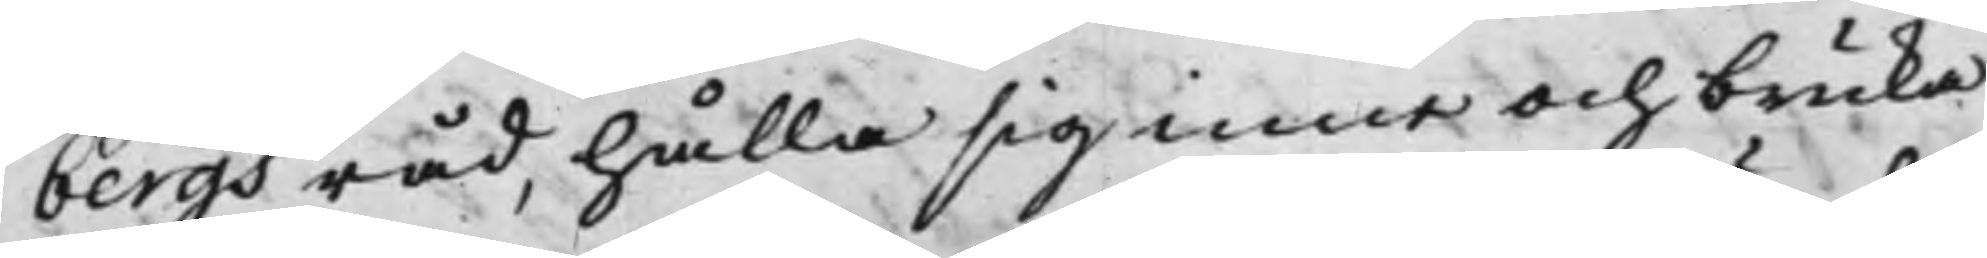bergs råd, hålla sig inne och bruka
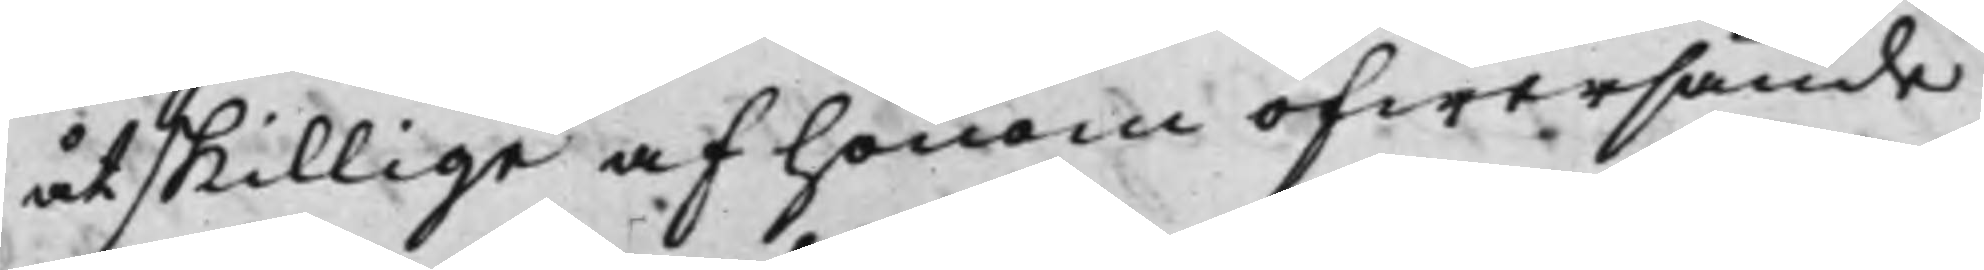åtskillige af honom öfwersände
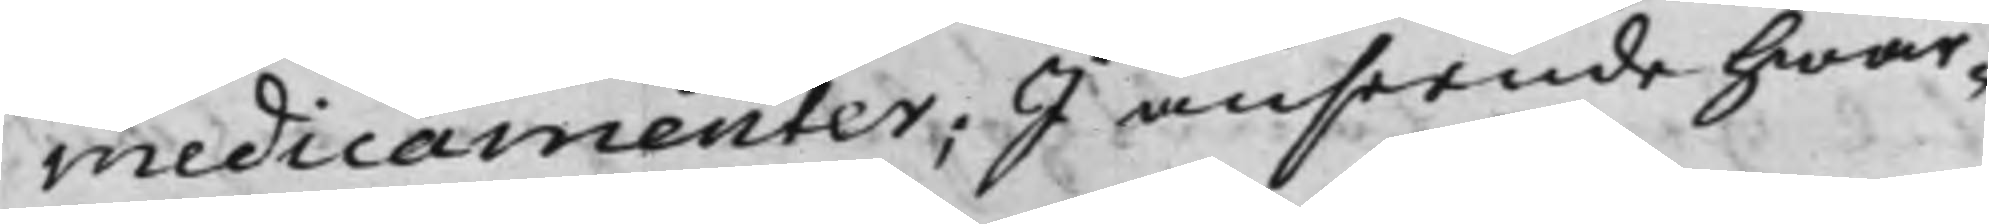medicamenter; I anseende hwar¬
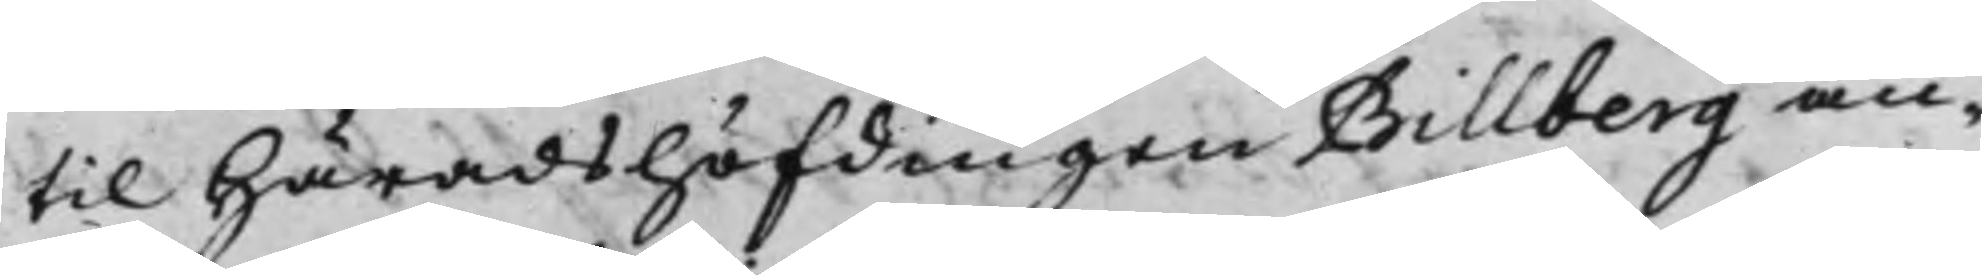til Häradshöfdingen Billberg an¬
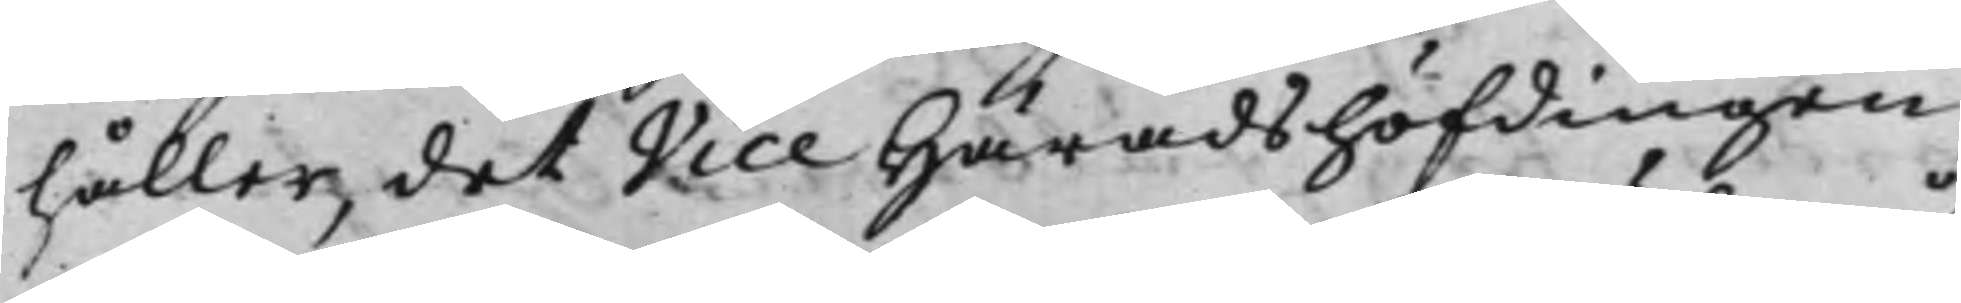håller, det Vice Häradshöfdingen
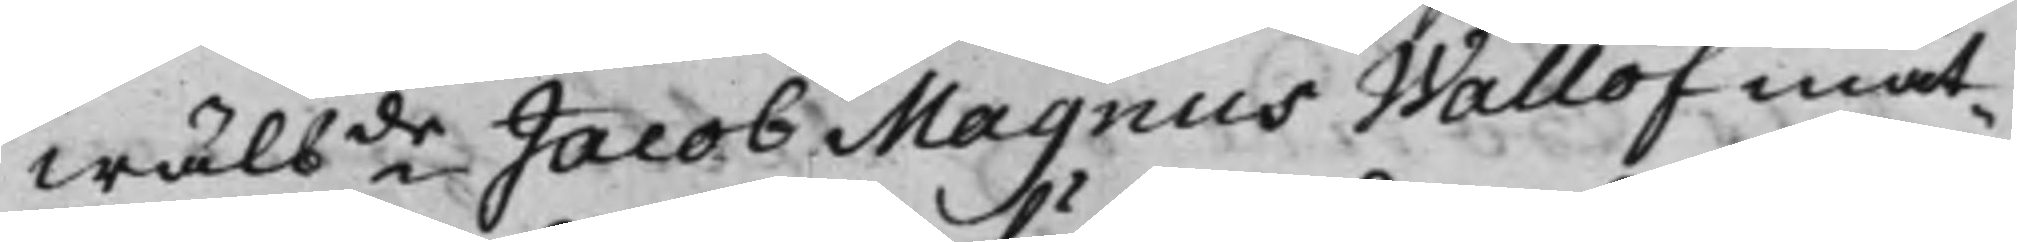Wälbde Jacob Magnus Wallöf måt¬
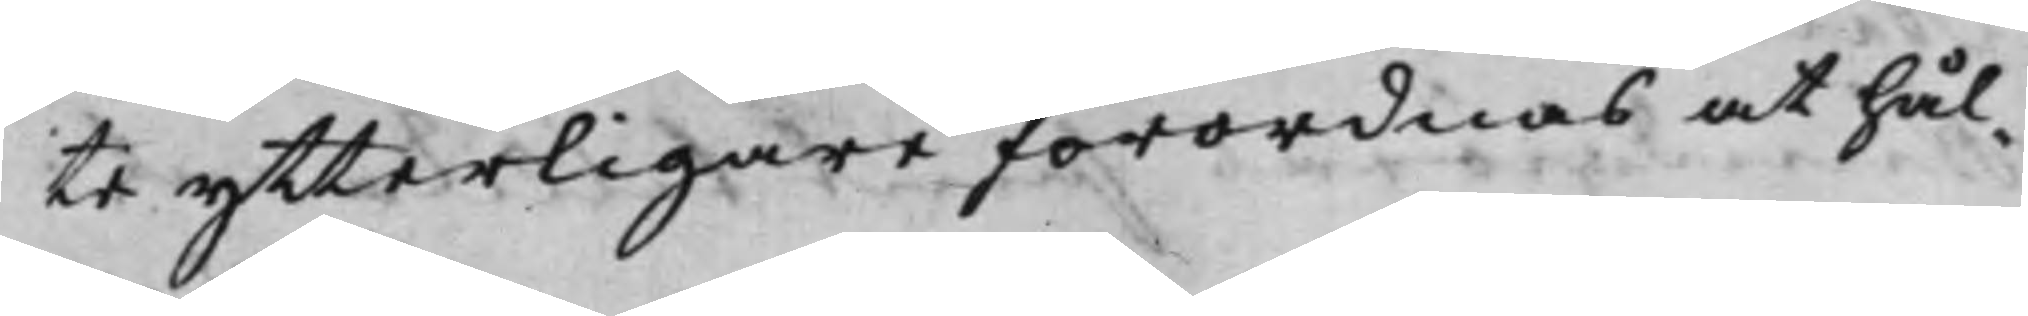te ytterligare förordnas at hål¬
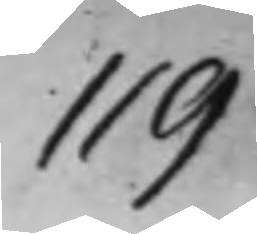119
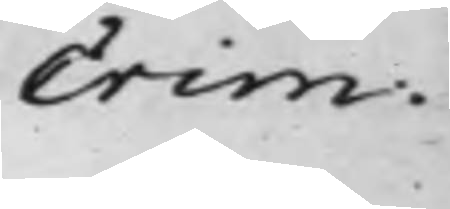Crim.
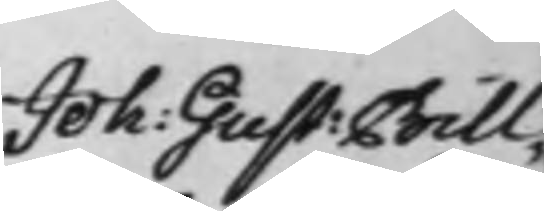Joh: Gust: Bill¬
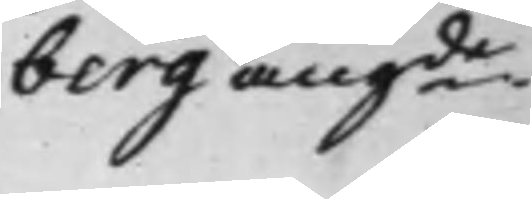berg angde
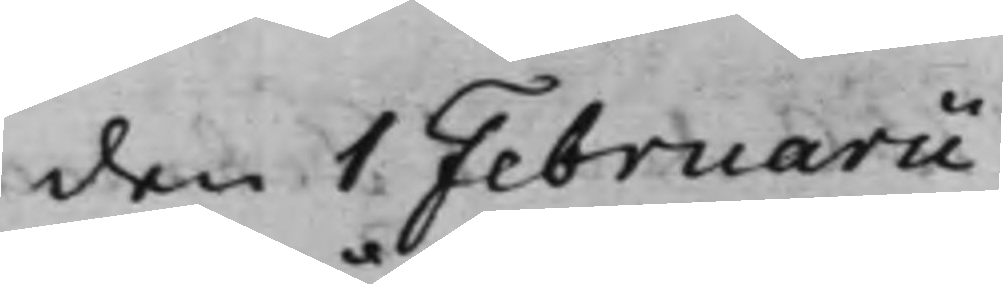den 1 Februarii
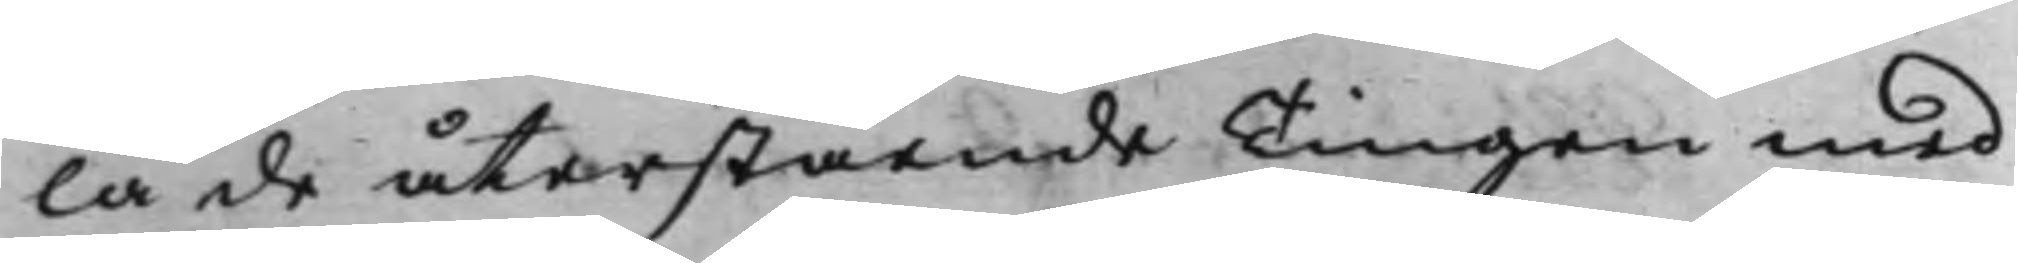la de återstående Tingen med
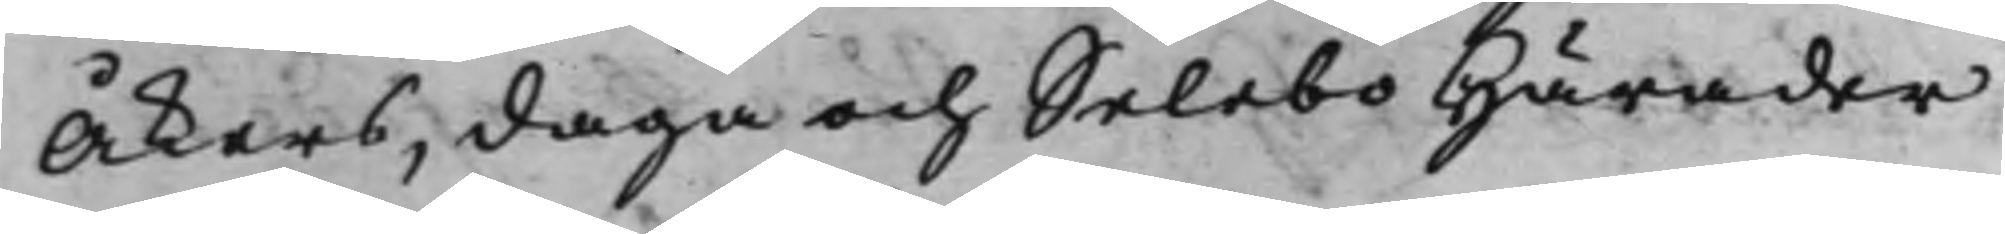Åkers, daga och Selebo Härader
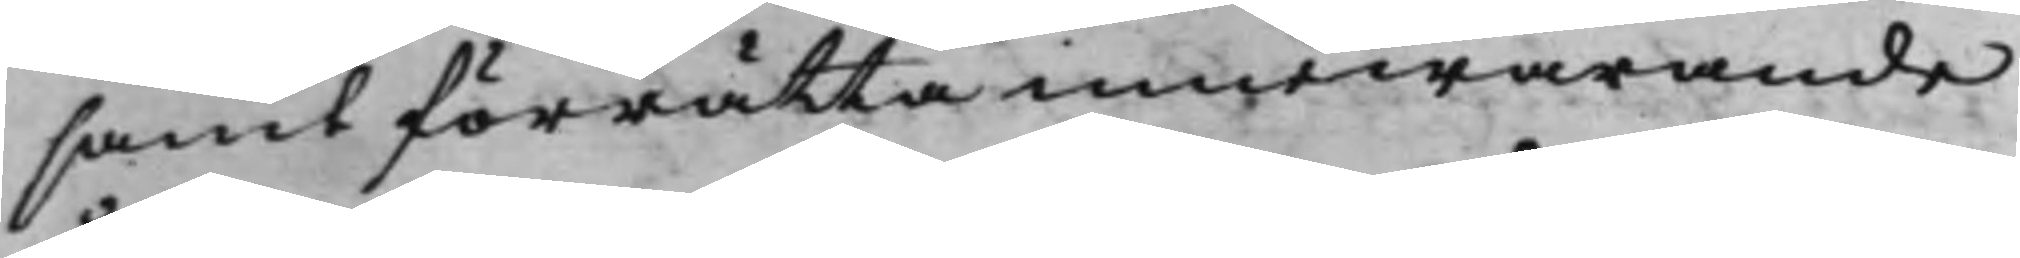samt förrätta innewarande
